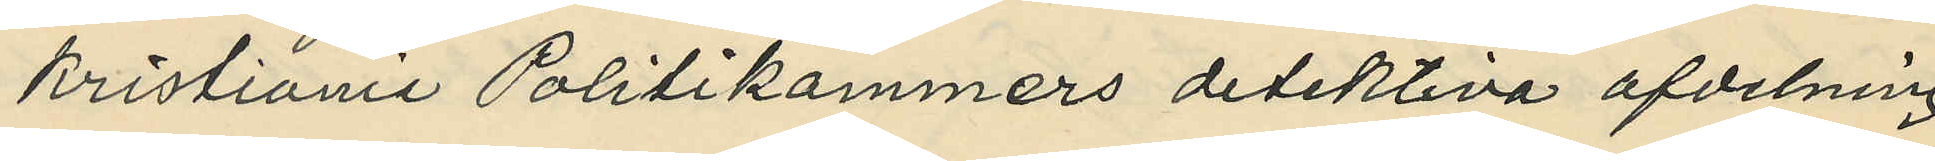Kristiania Politikammers detektiva afdelning
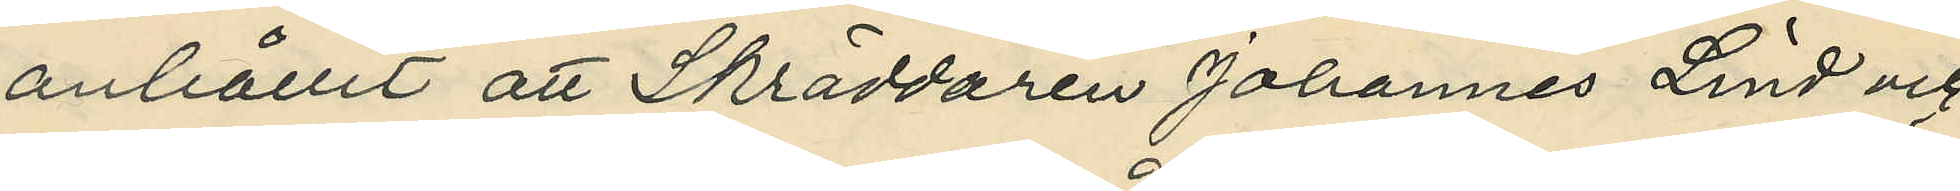anhållit att Skräddaren Johannes Lind och
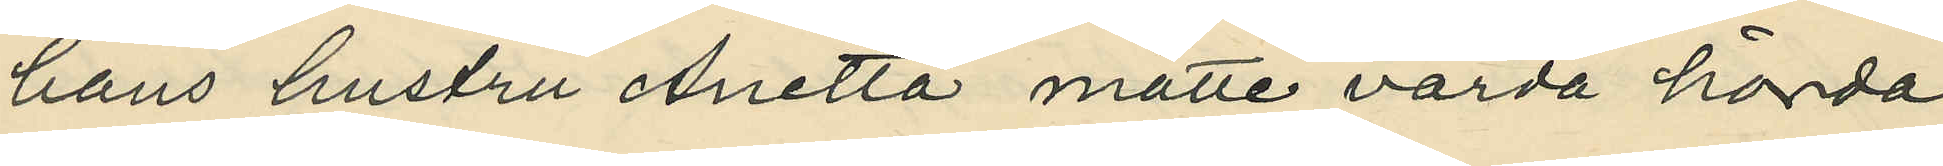hans hustru Anetta måtte varda hörda
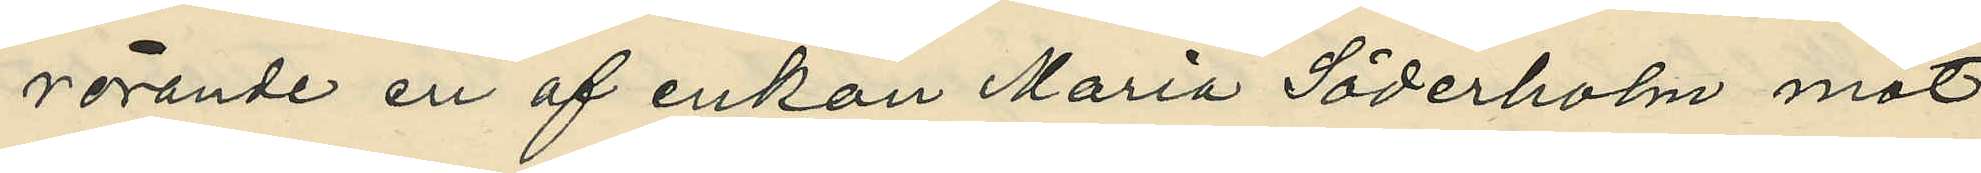rörande en af enkan Maria Söderholm mot
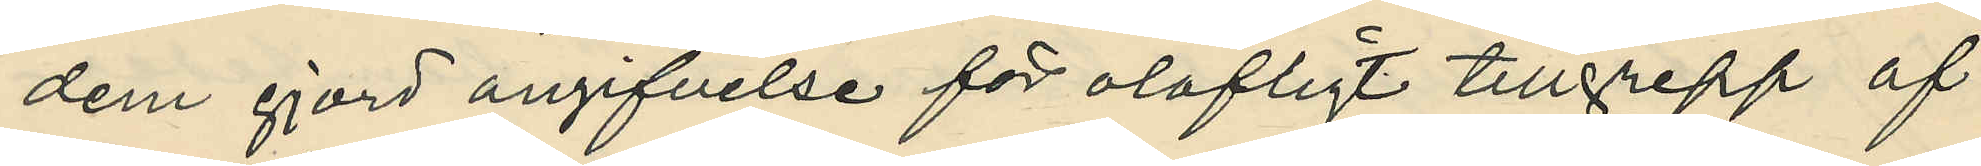dem gjord angifvelse för olofligt tillgrepp af
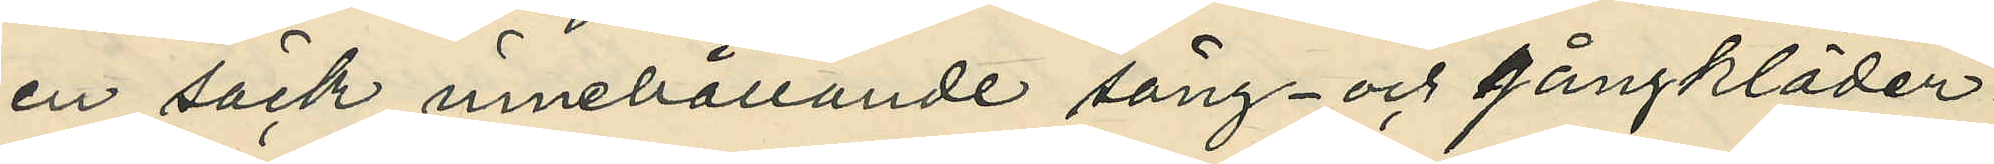en säck innehållande säng- och gångkläder.
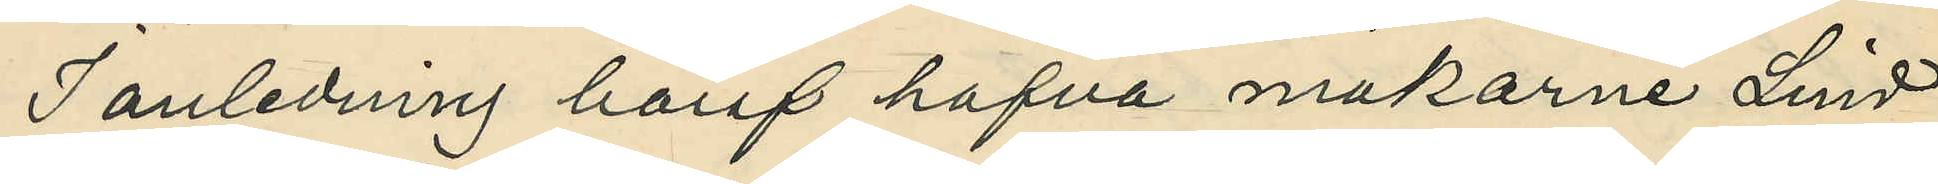I anledning häraf hafva makarne Lind
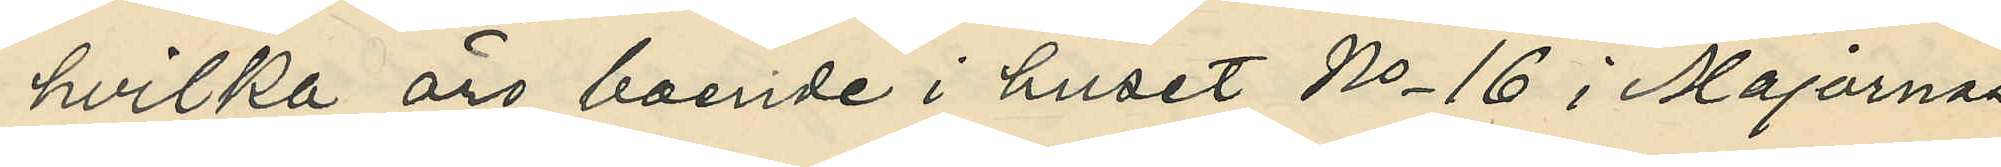hvilka äro boende i huset No 16 i Majornas
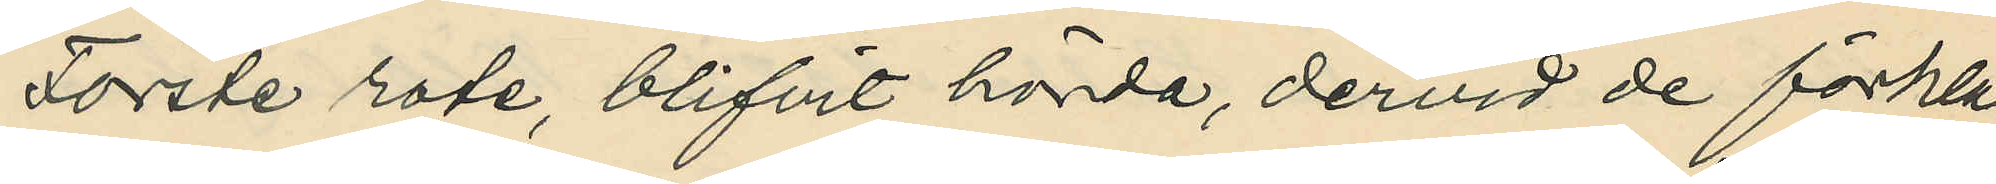Förste rote, blifvit hörda, dervid de förkla¬
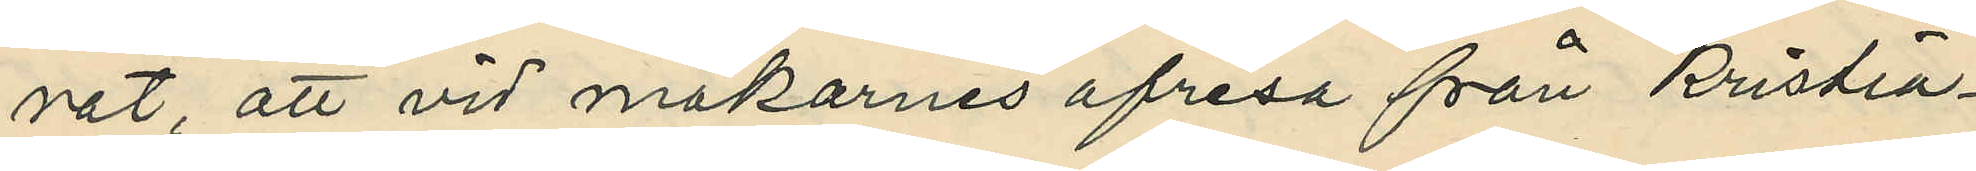rat, att vid makarnes afresa från Kristia¬
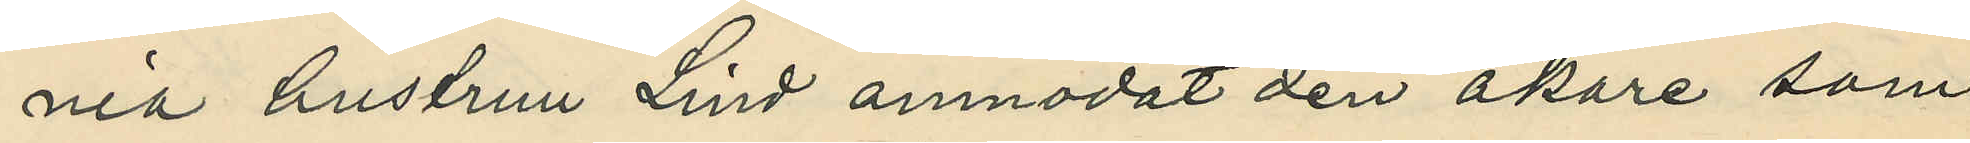nia hustrun Lind anmodat den åkare som
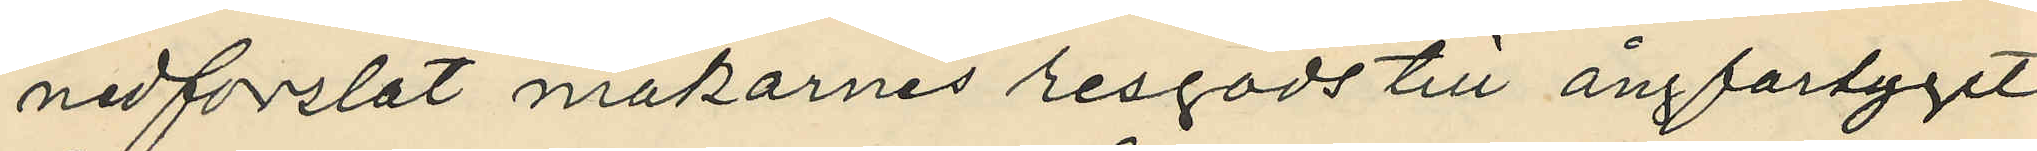medforslat makarnes resgods till ångfartyget
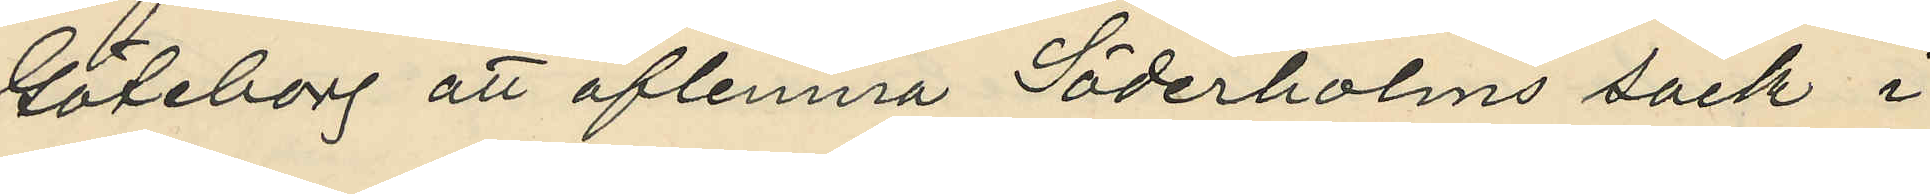Göteborg att aflemna Söderholms säck i
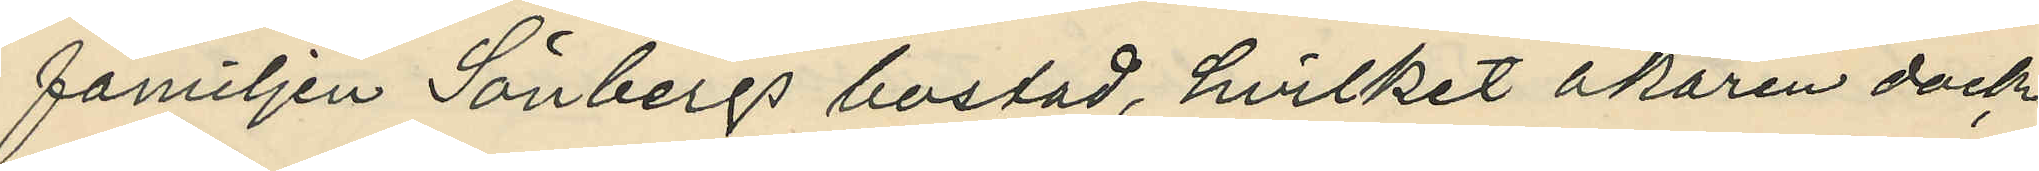familjen Sävbergs bostad, hvilket åkaren dock
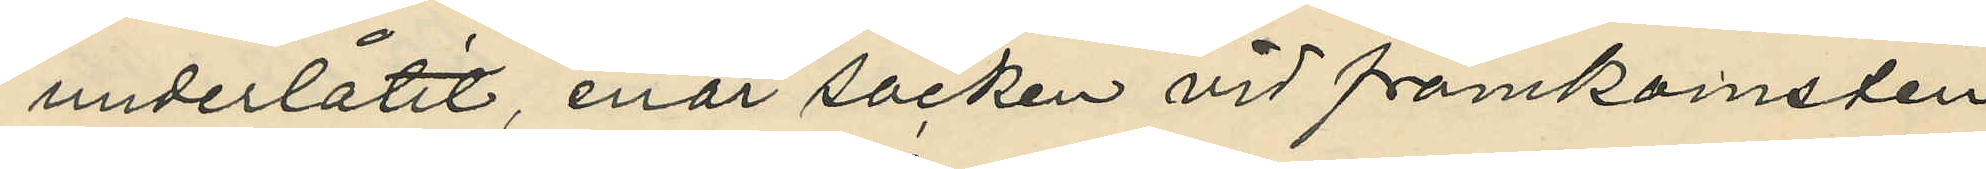underlåtit, enär säcken vid framkomsten
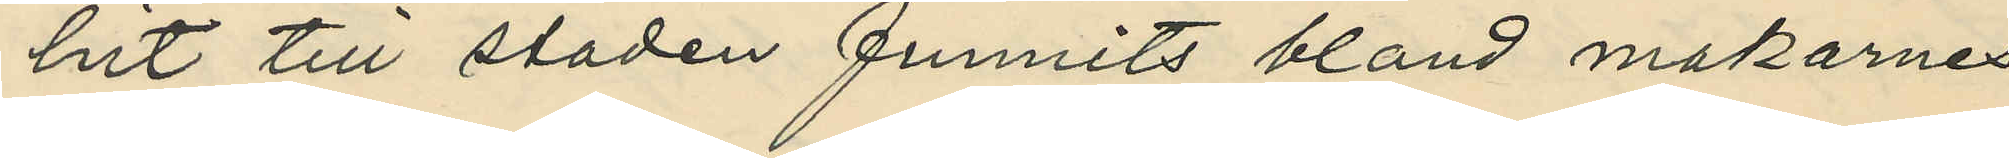hit till staden funnits bland makarnes
